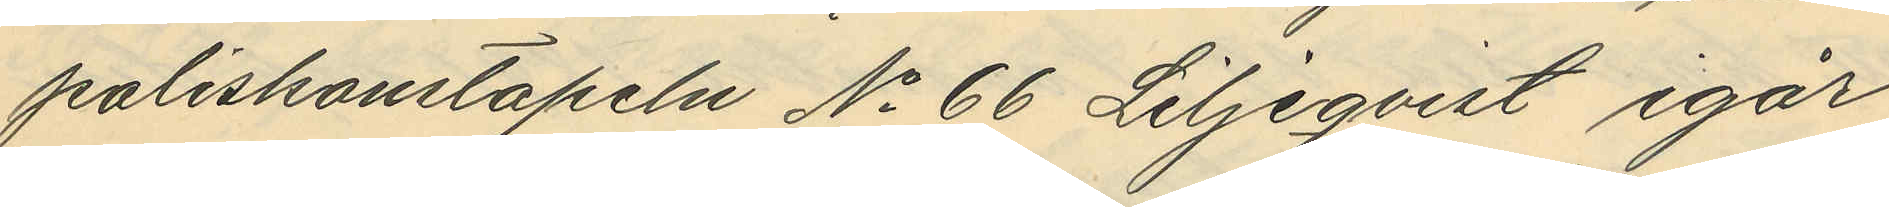poliskonstapeln No 66 Liljeqvist igår
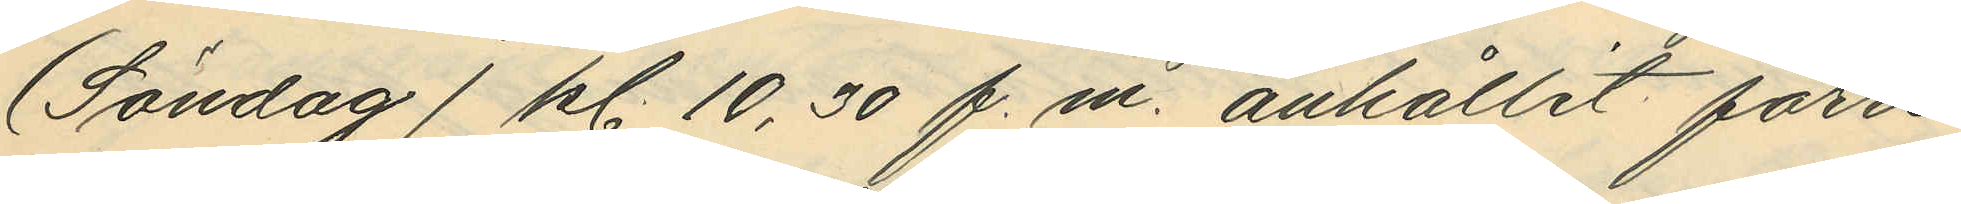(Söndag) kl. 10,30 f.m. anhållit förre
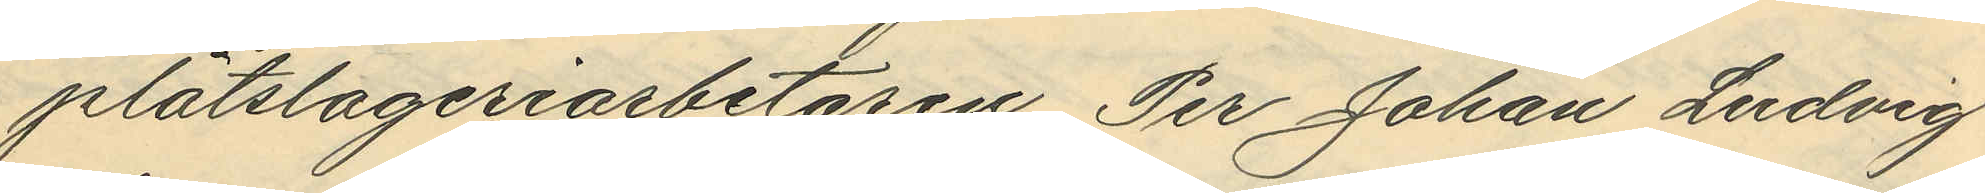plåtslageriarbetaren Per Johan Ludvig
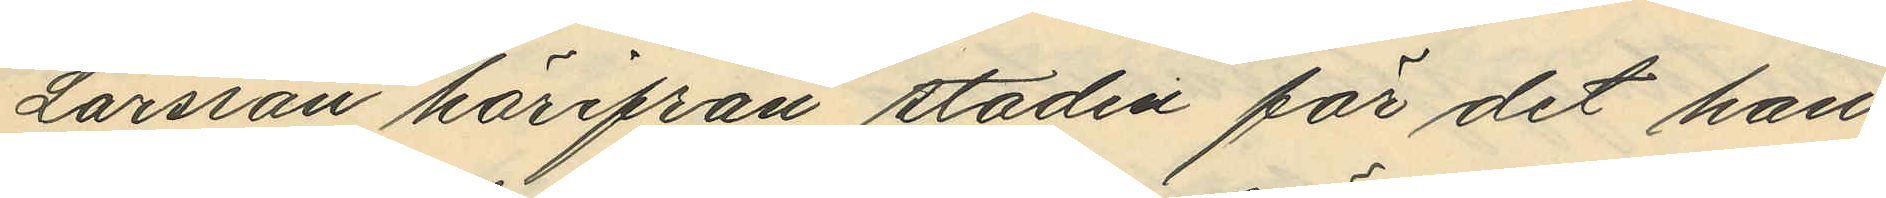Larsson härifrån staden för det han
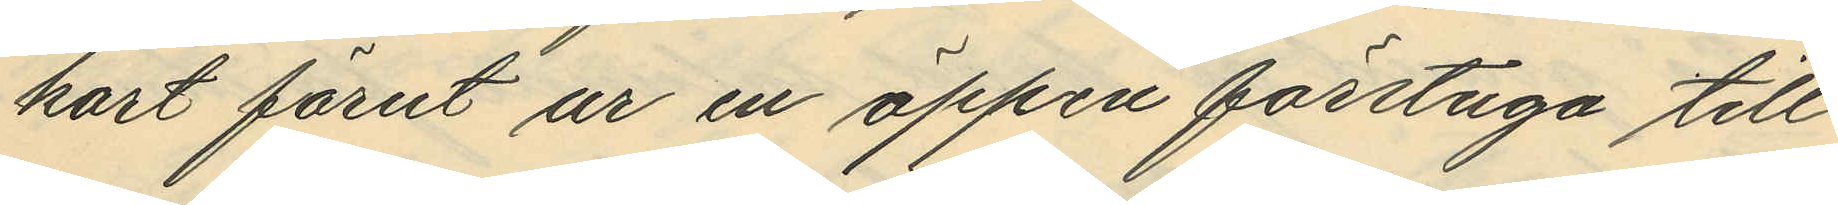kort förut ur en öppen förstuga till
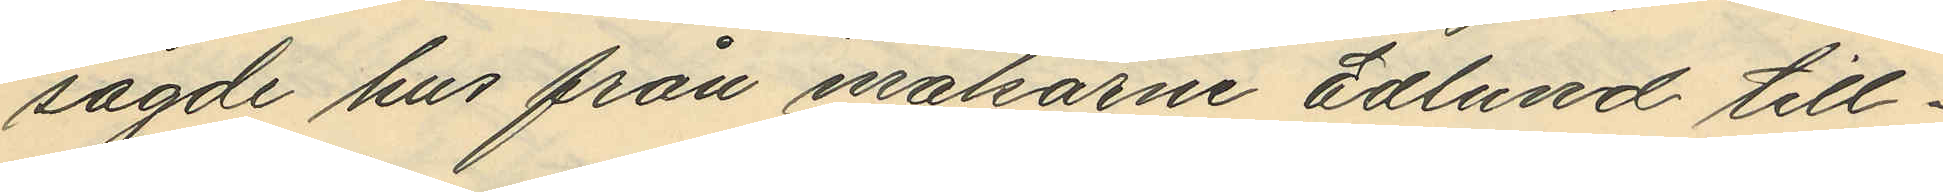sagde hus från makarne Edlund till¬
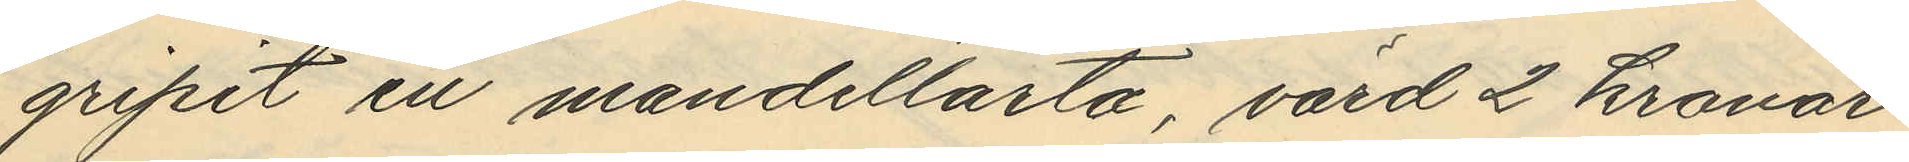gripit en mandeltårta, värd 2 kronor
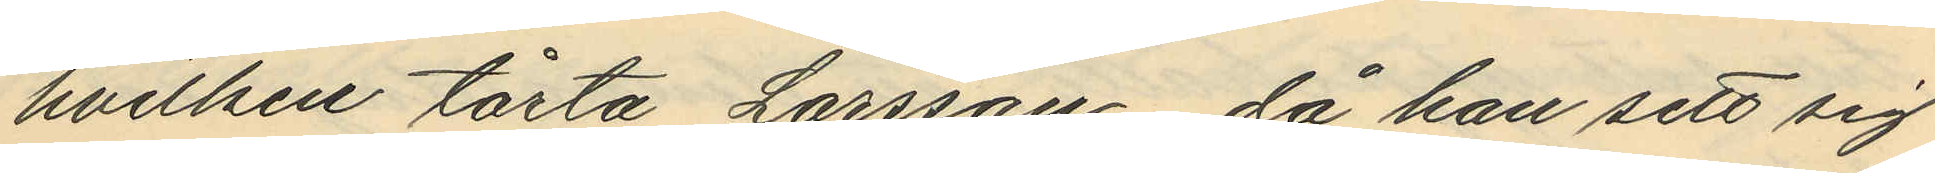hvilken tårta Larsson, då han sett sig
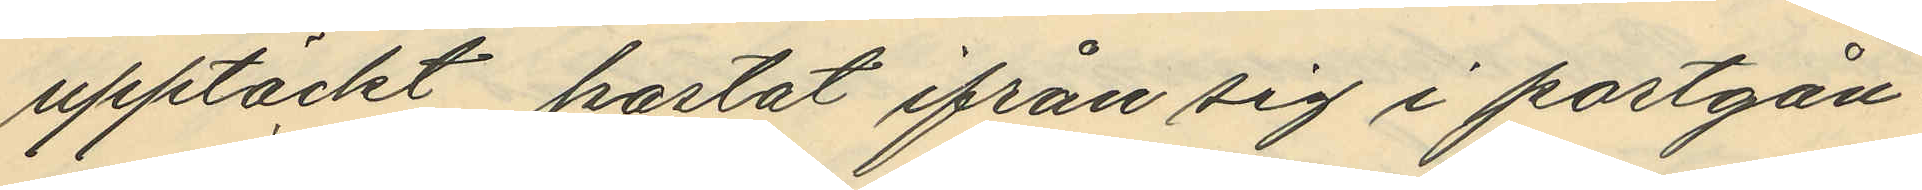upptäckt, kastat ifrån sig i portgån¬
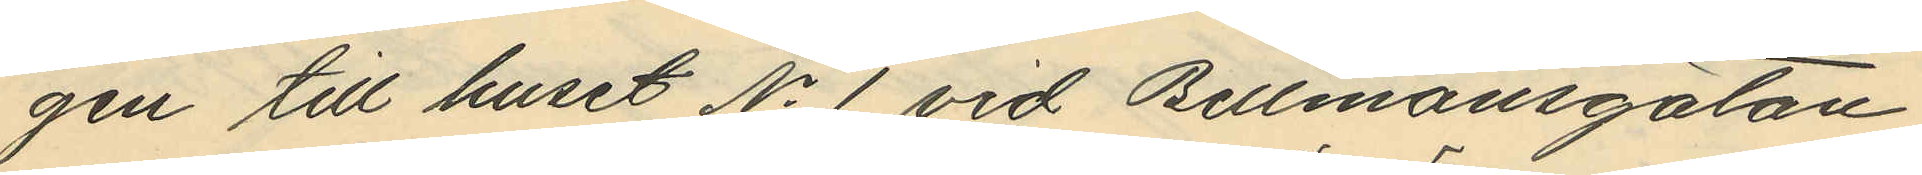gen till huset No 1 vid Bellmansgatan
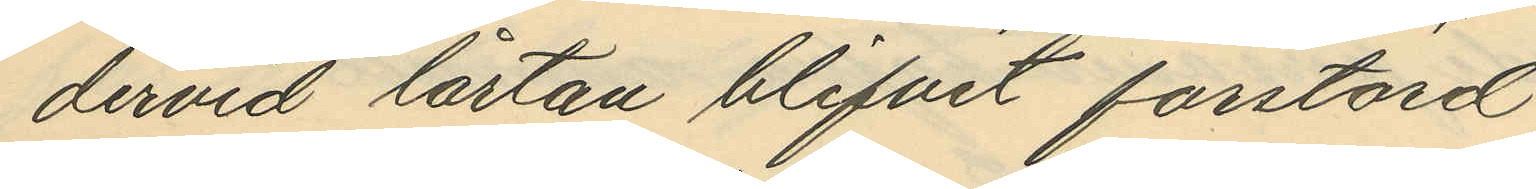dervid tårtan blifvit förstörd.
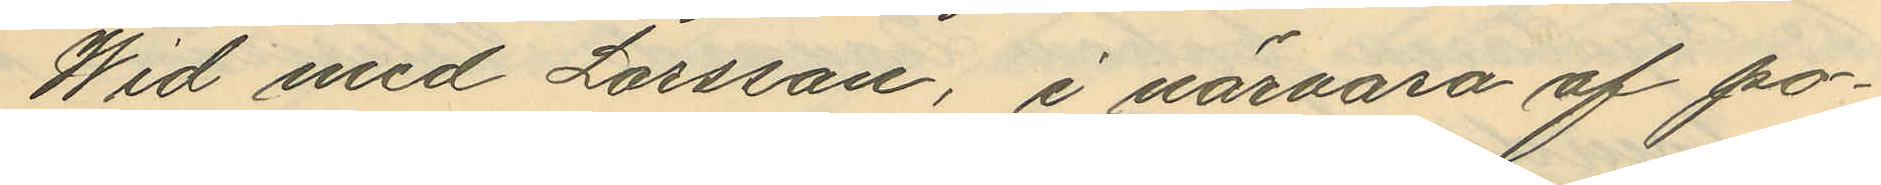Wid med Larsson, i närvaro af po¬
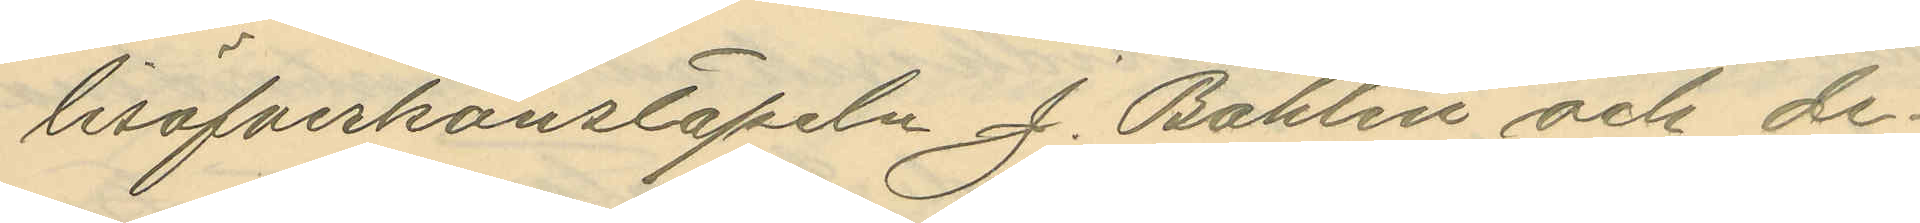lisöfverkonstapeln J. Bohlin och de¬
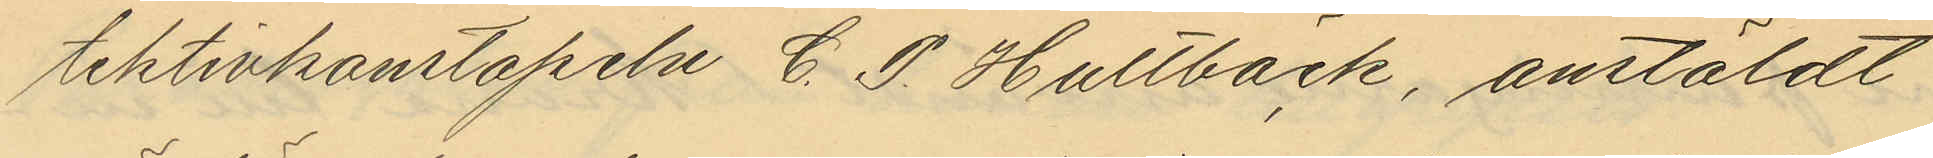tektivkonstapeln C. P. Hultbäck, anstäldt
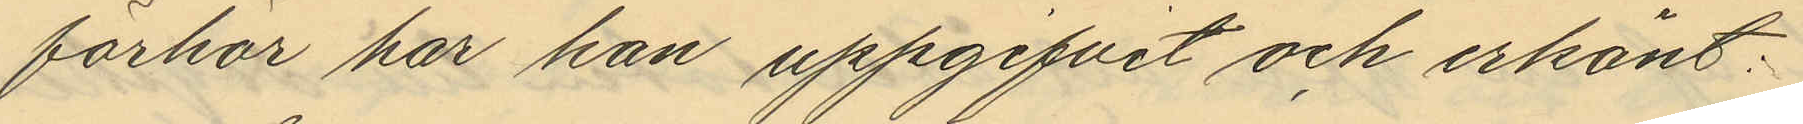förhör har han uppgifvit och erkänt:
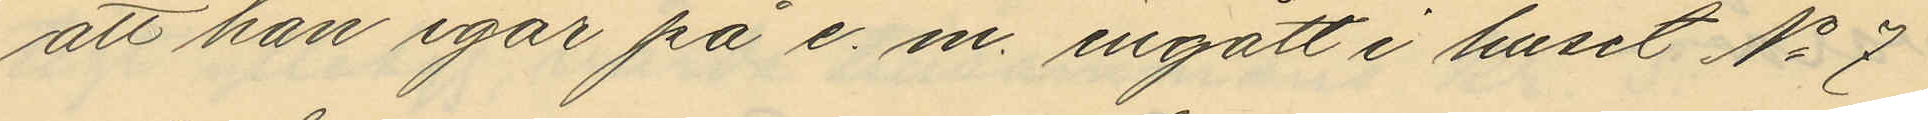att han igår på e. m. ingått i huset No 7
